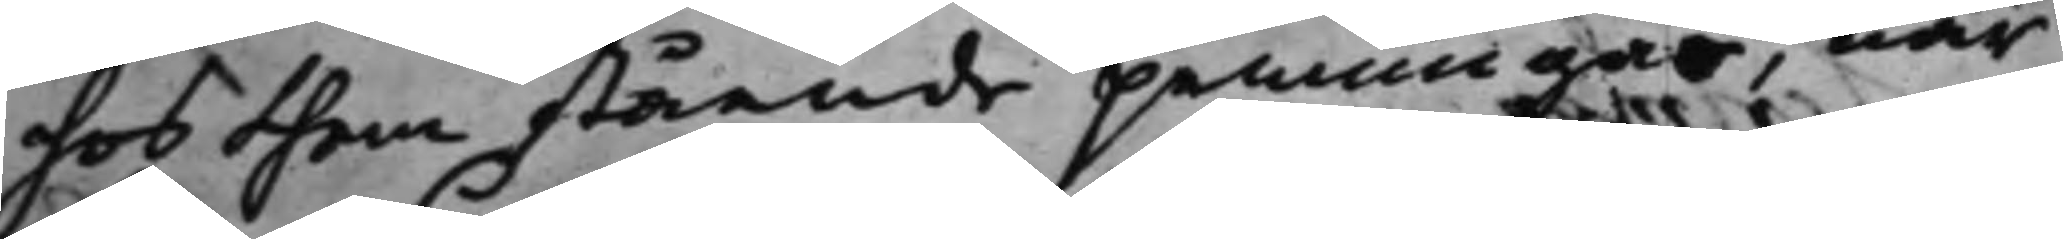hos hem stående penningar, när
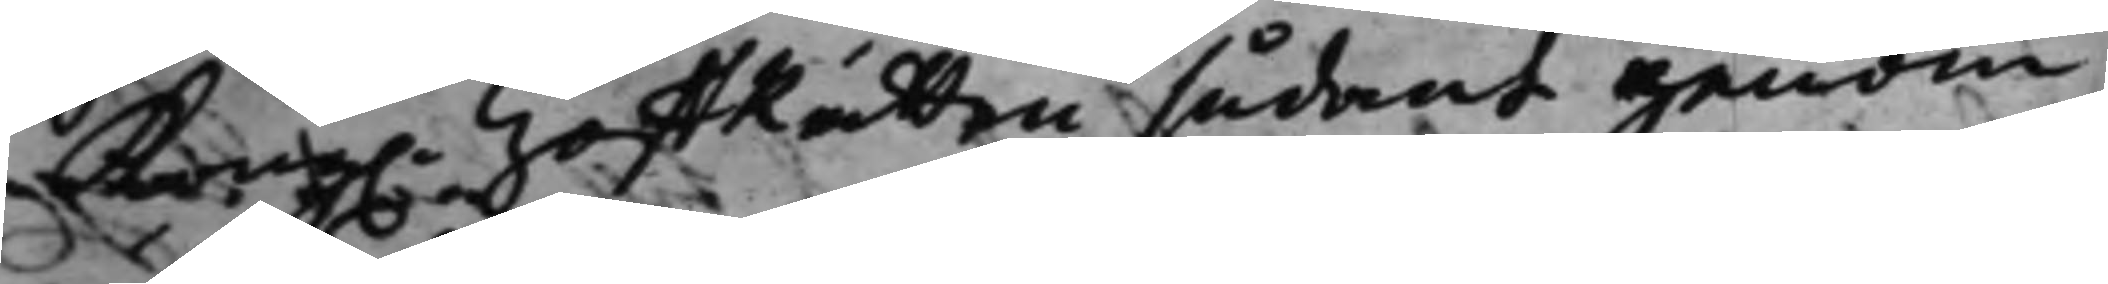Kong. HoffRätten sådant genom
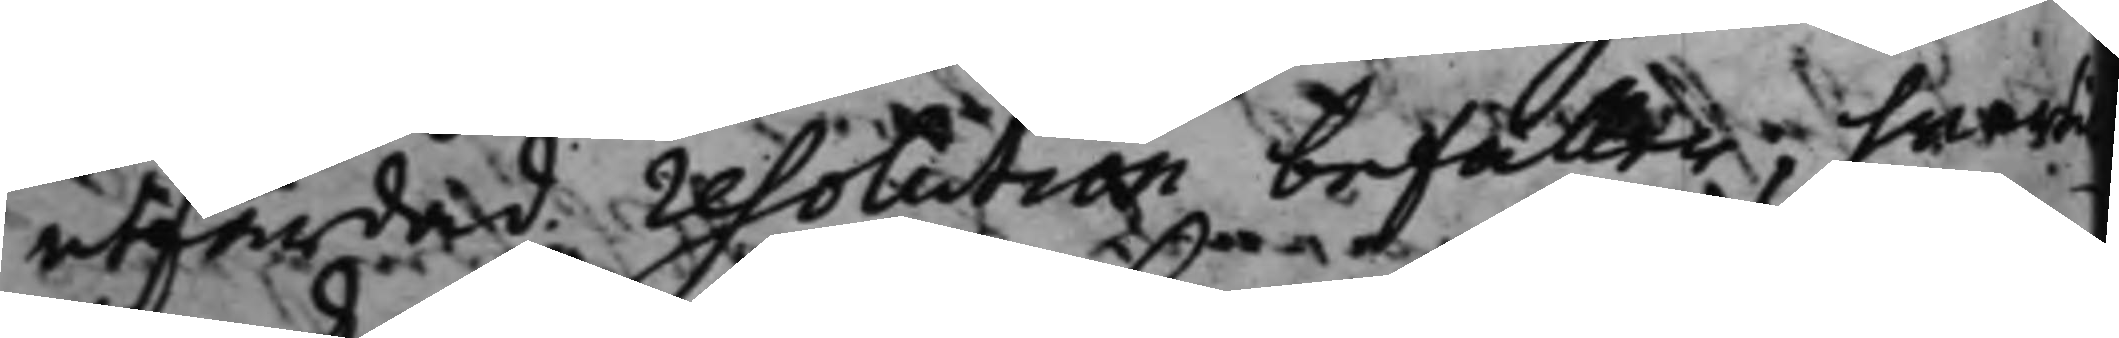utfärdad resolution befaller, hwarti
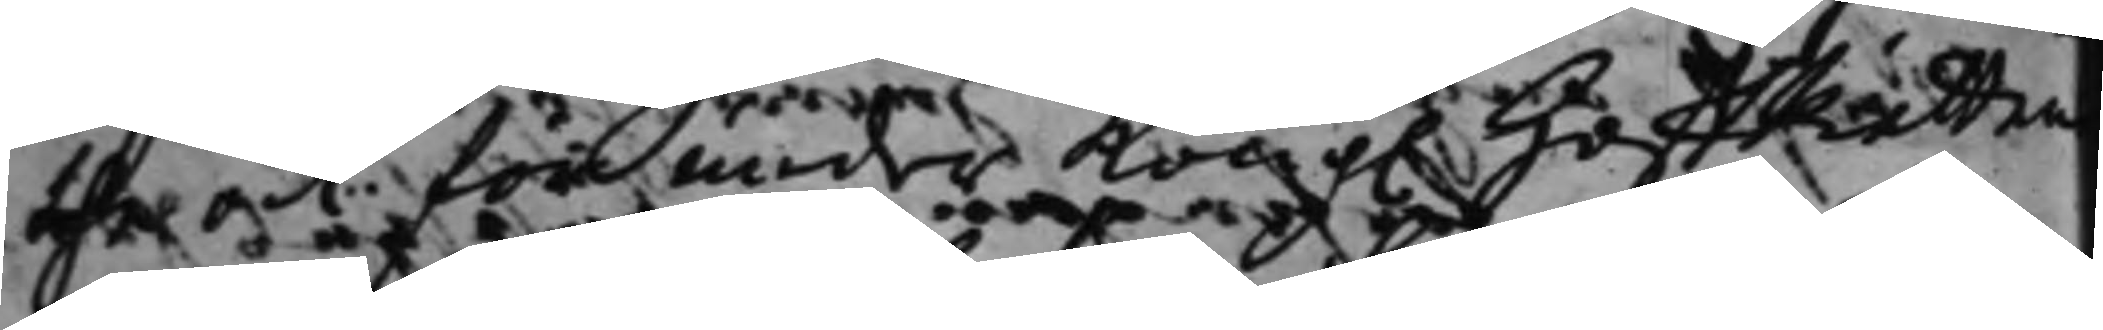the ock för under Kong. HoffRättens
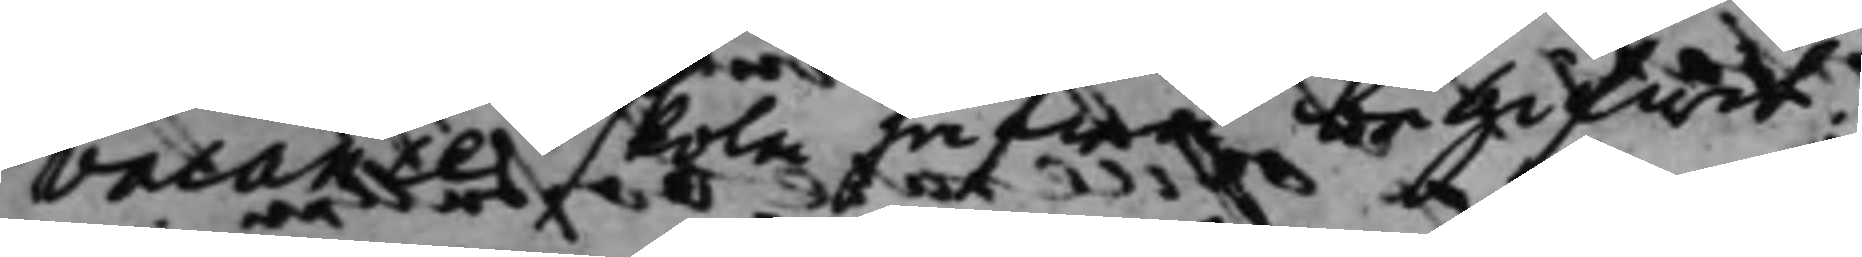vacancer skola hafwa begifwit.
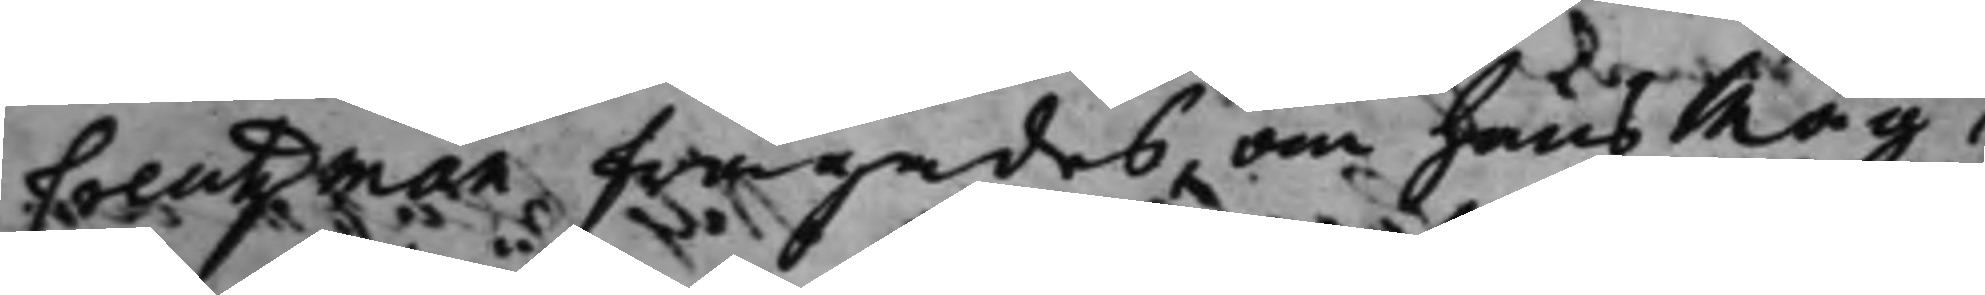Creutzman frågades, om hans Måg,
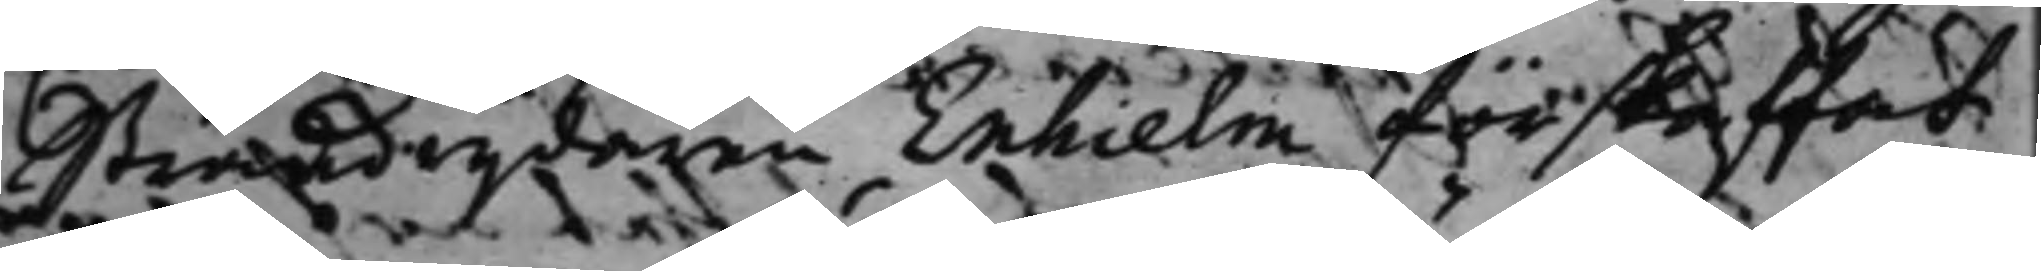Strandrijdaren Enhielm förskaffat
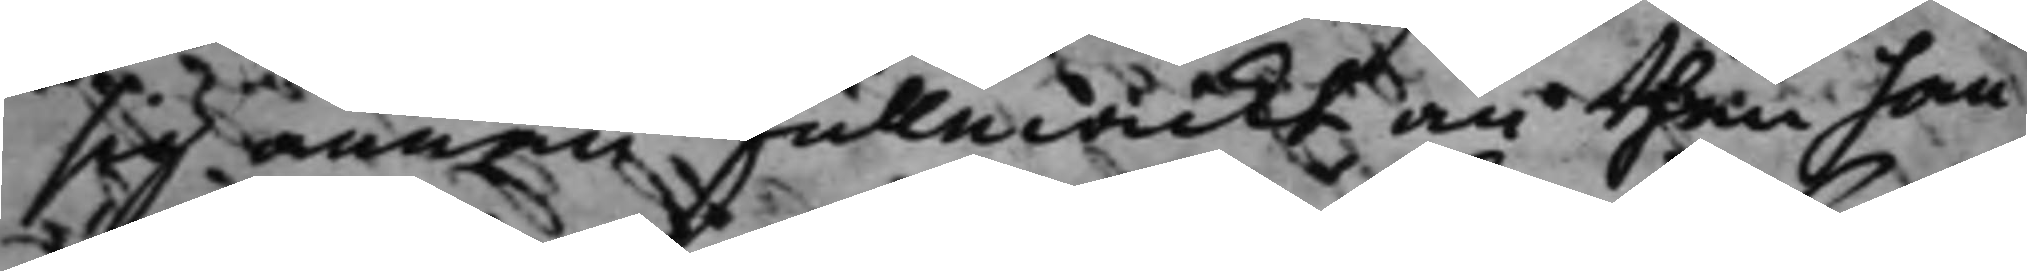sig annan fullmackt än then han
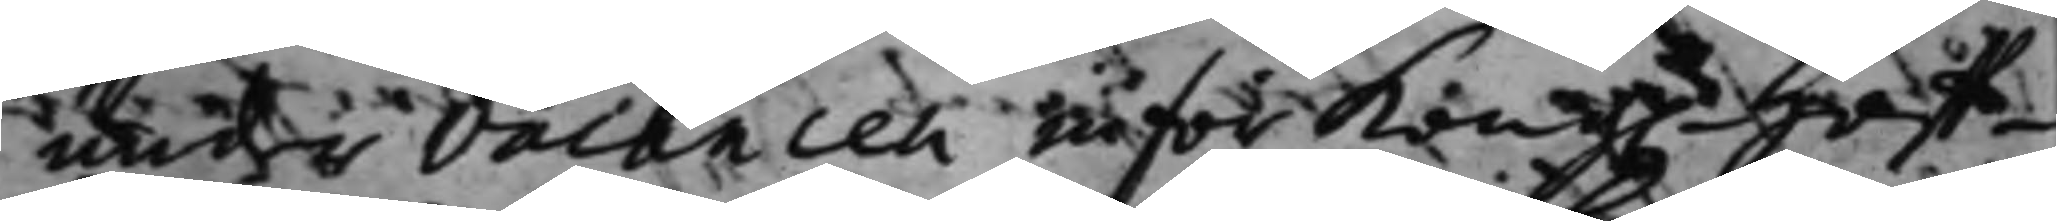under vacancen inför Kong. Hoff¬
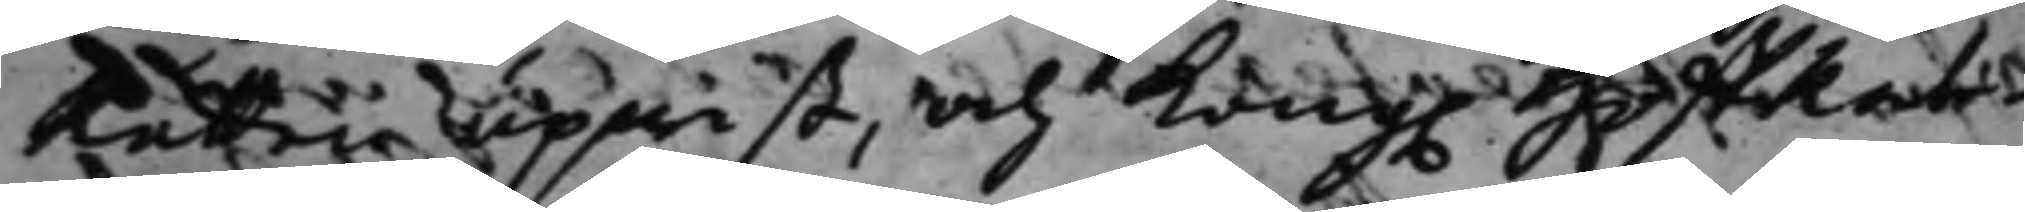Rätten upwist, och Kong. HoffRät¬
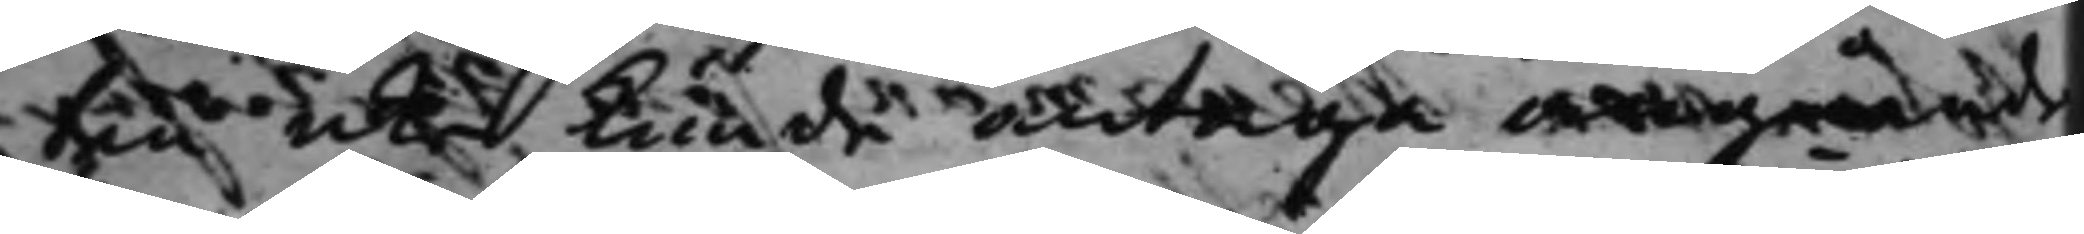ten icke kunde antaga angående
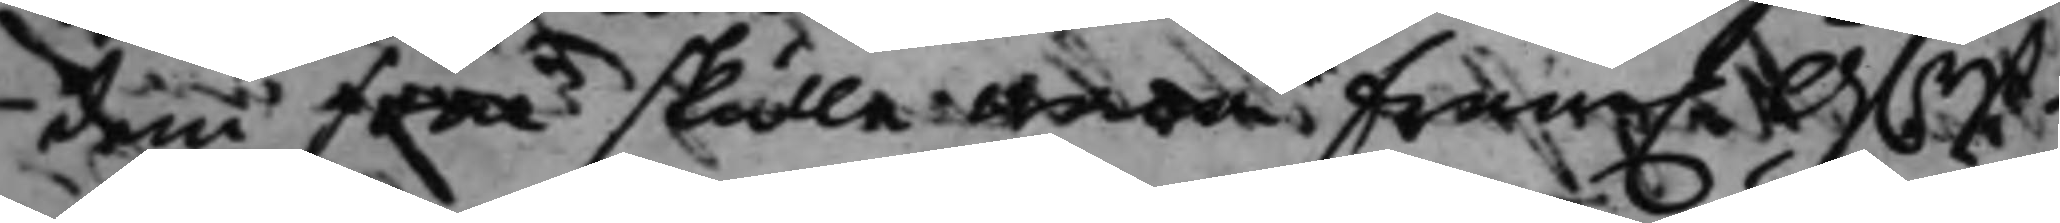dem som skulle wara fram.e Ö.rst¬
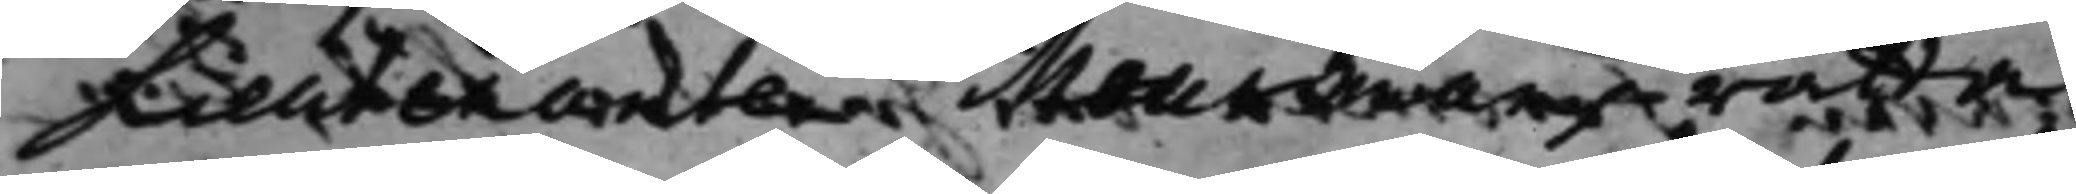Lieutenanten Meurmans rätta
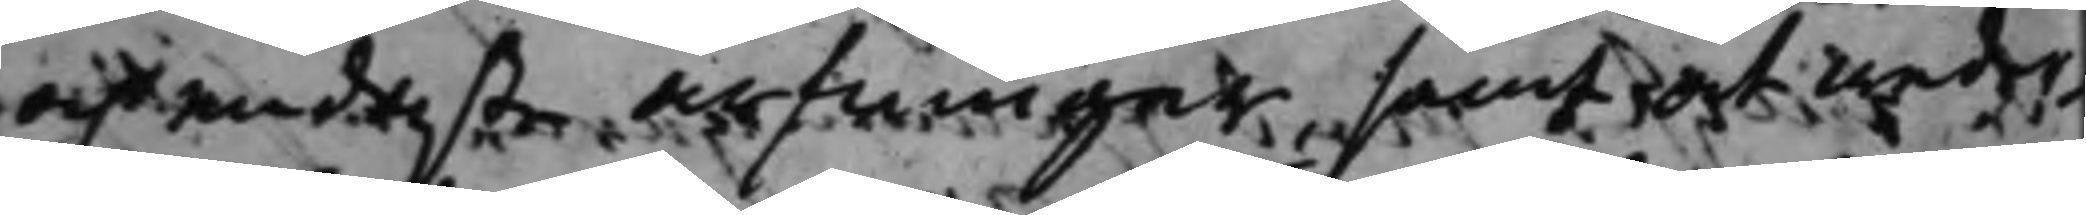och endaste arfwingar, samt at weder¬
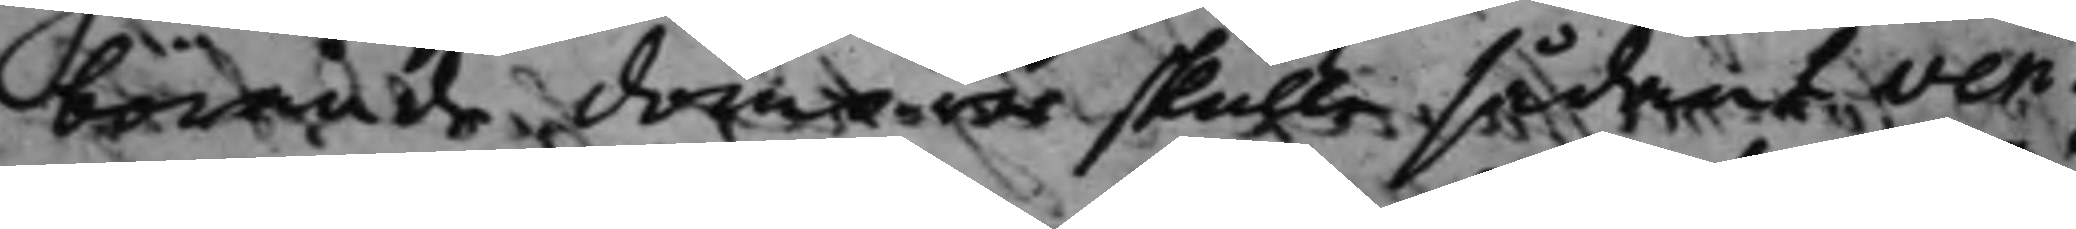börande domar skulle sådant veri¬
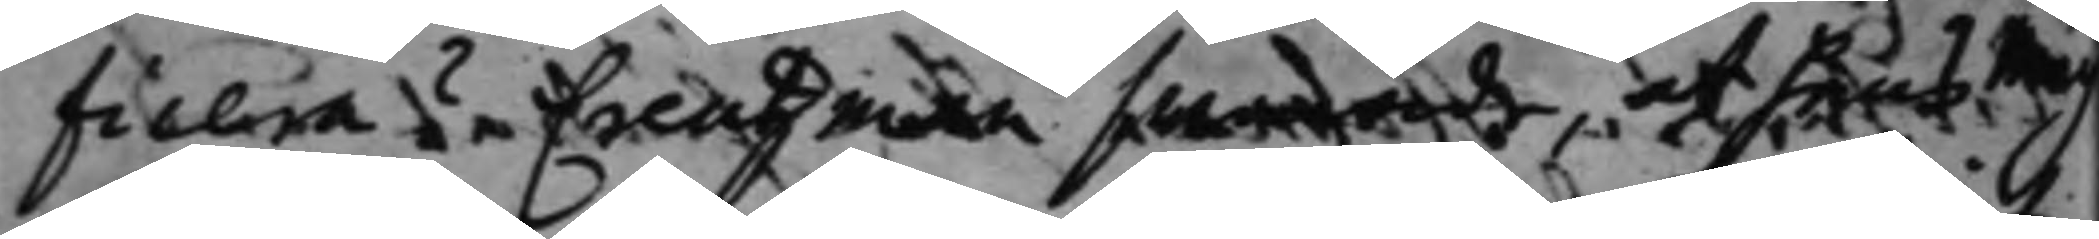ficera? Creutzman swarade, at hans Måg
